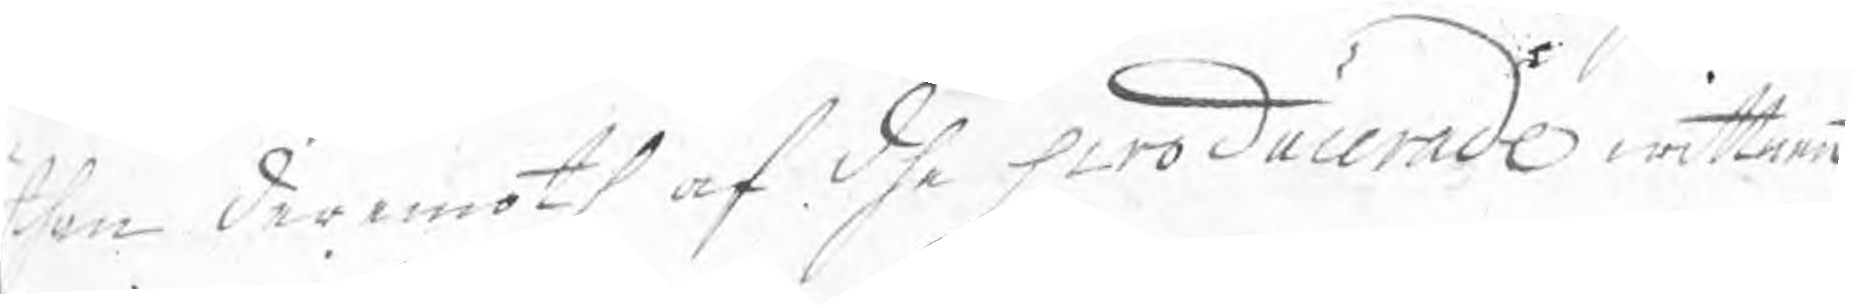than deremoth af dhe producerade wittnen
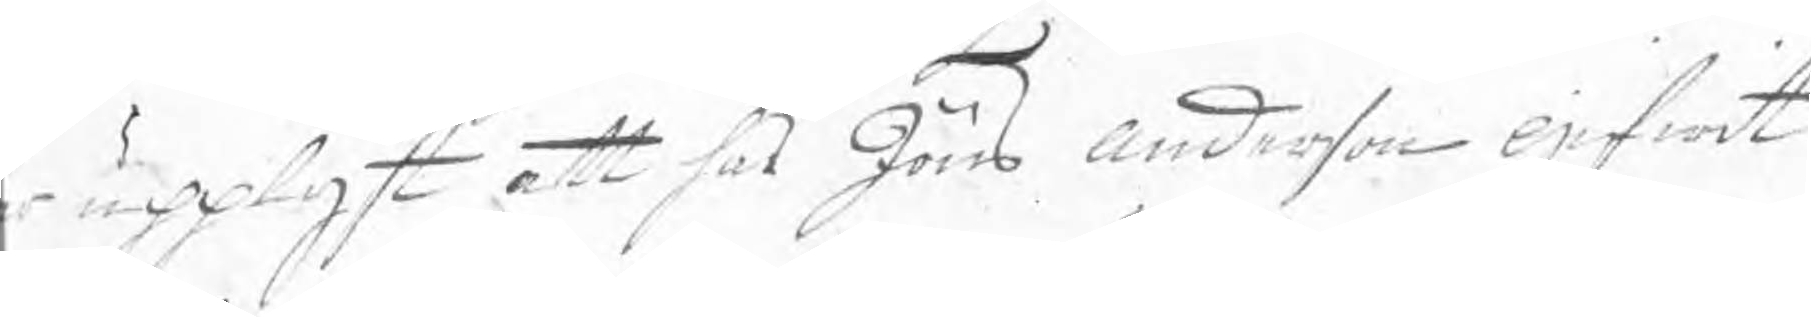är upplyst att hos Jöns Anderson gifwit
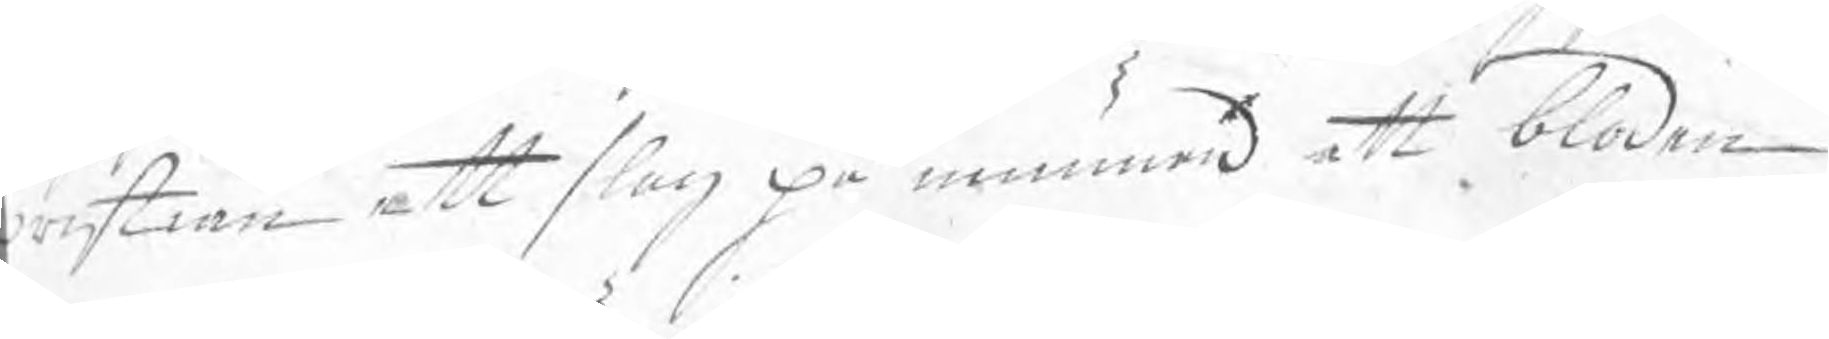Cristian ett slag på munnen att bloden
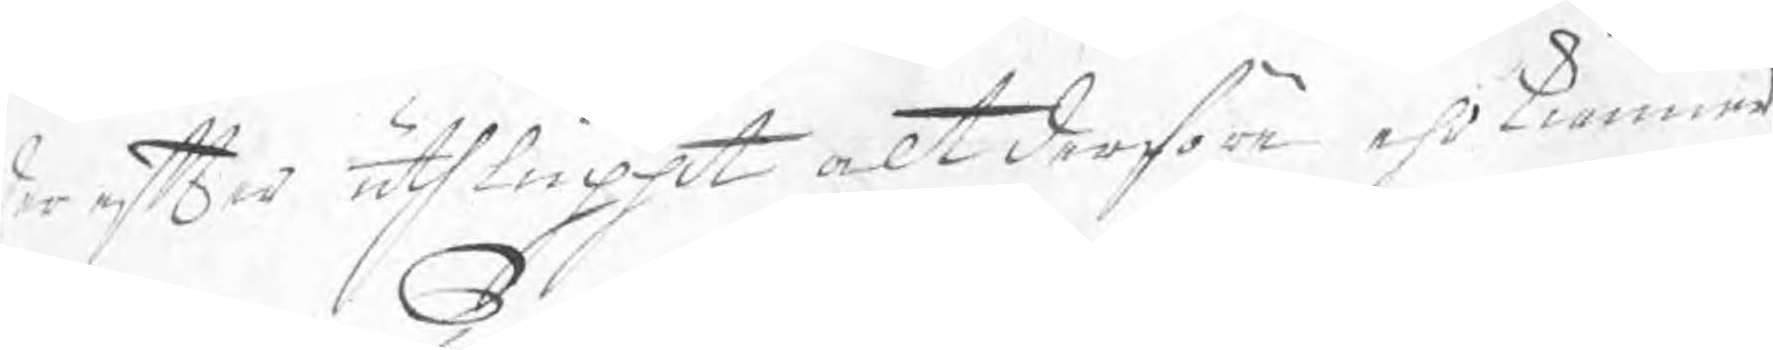der efter uthluppit alt derföre ehrkiänner
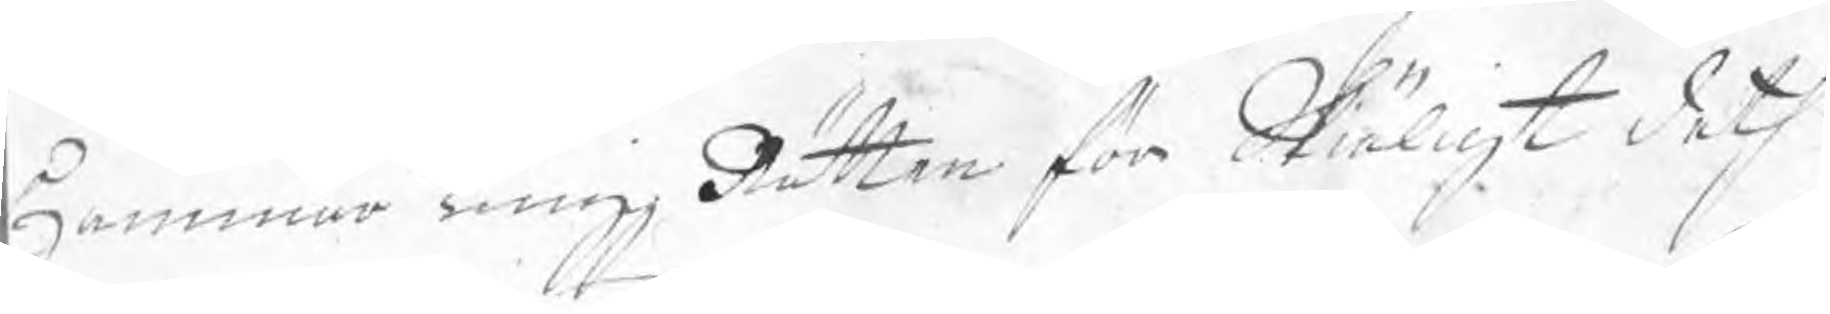Hammar Tingz Rätten för Skiäligt deth
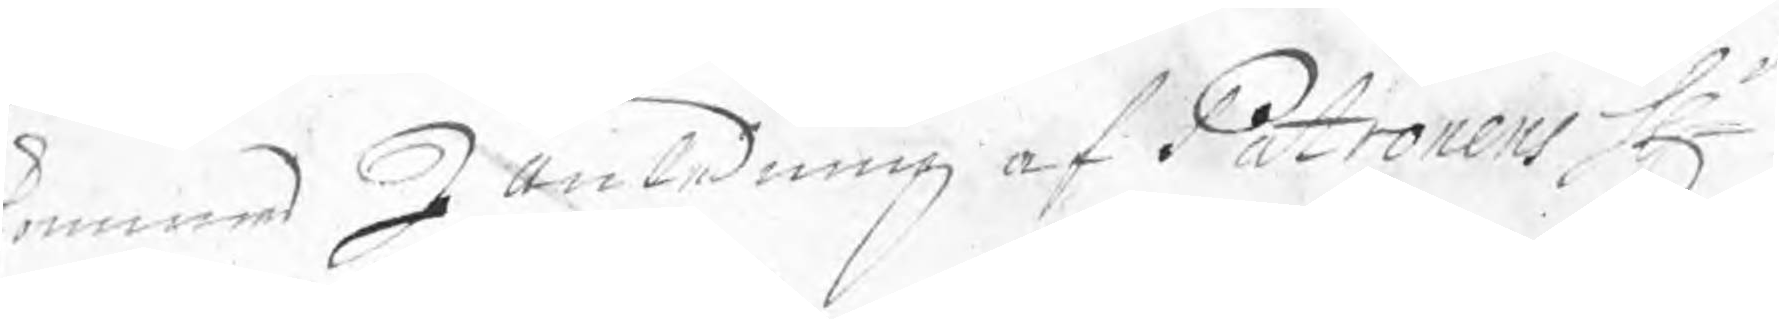kommer I anledning af Patronens Hr
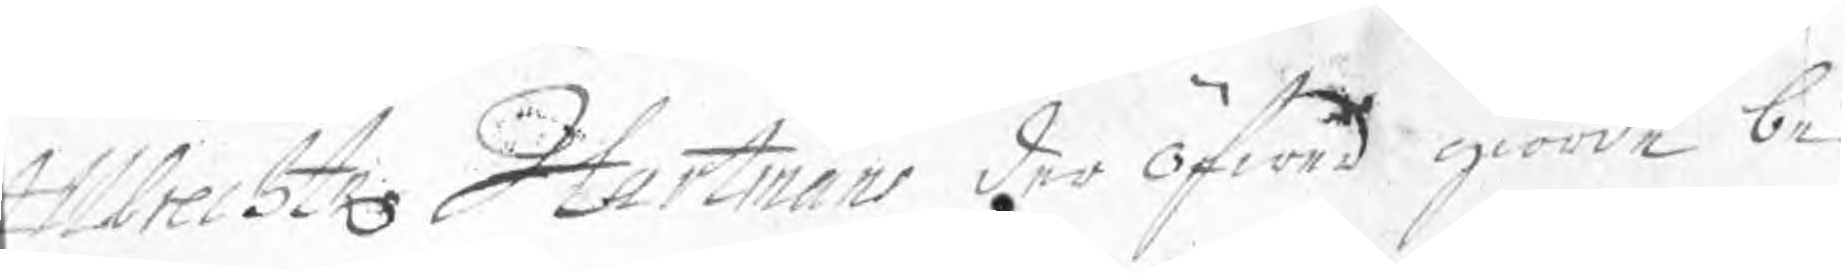Allbrecht Hartmans der öfwer giorde be¬
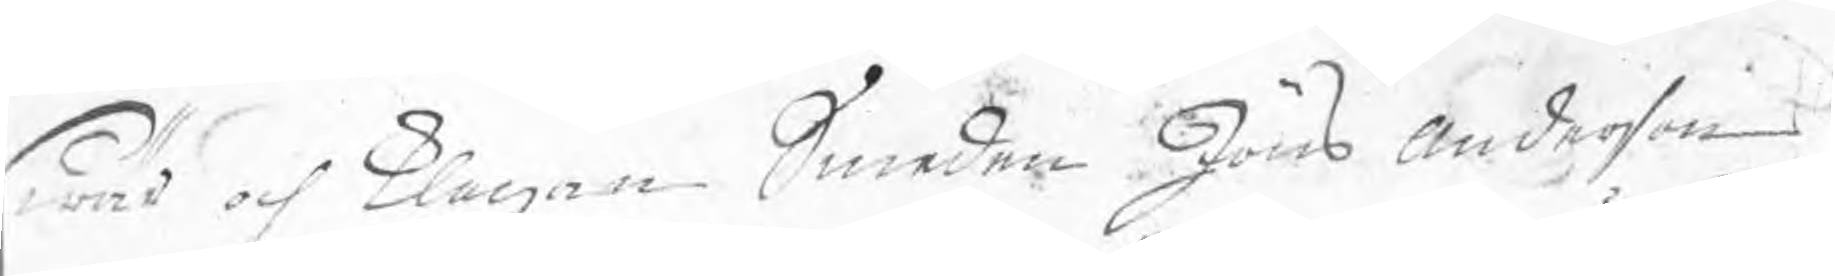swär och klagan Smeden Jöns Anderson
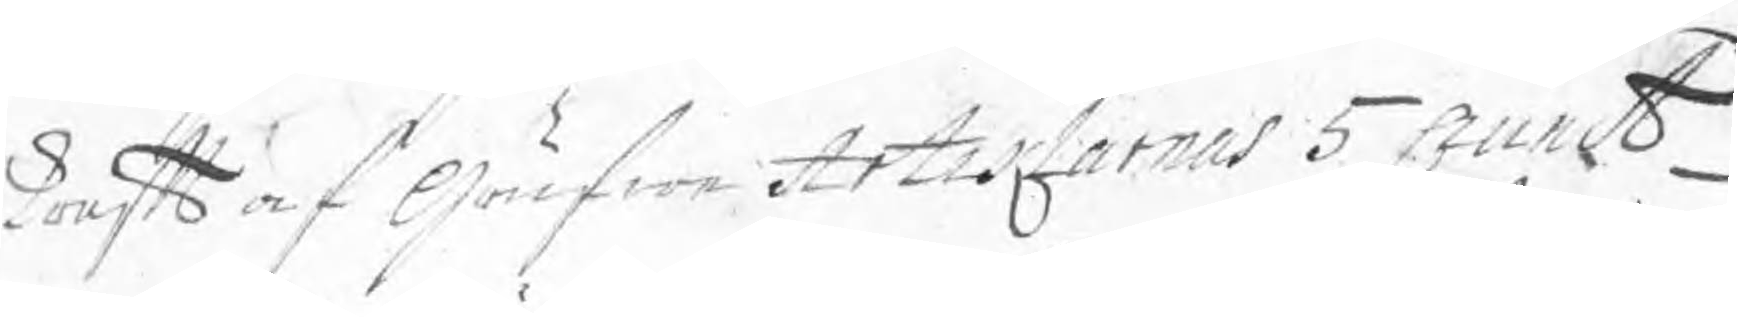kraft af Grufwe Artiklarnas 5 punct
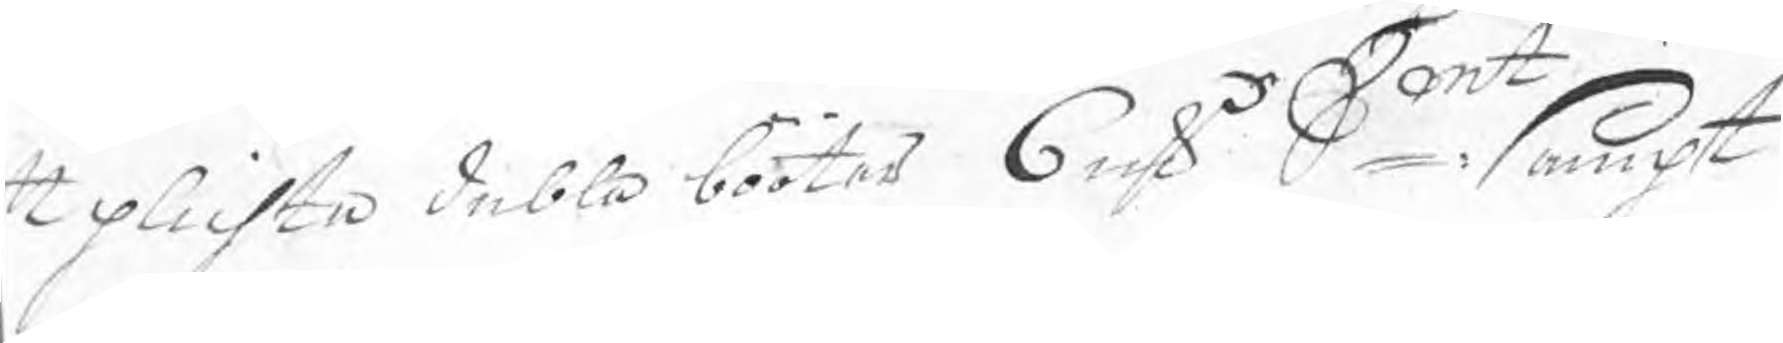t plichta dubla bööter 6 rsk Smt: sampt
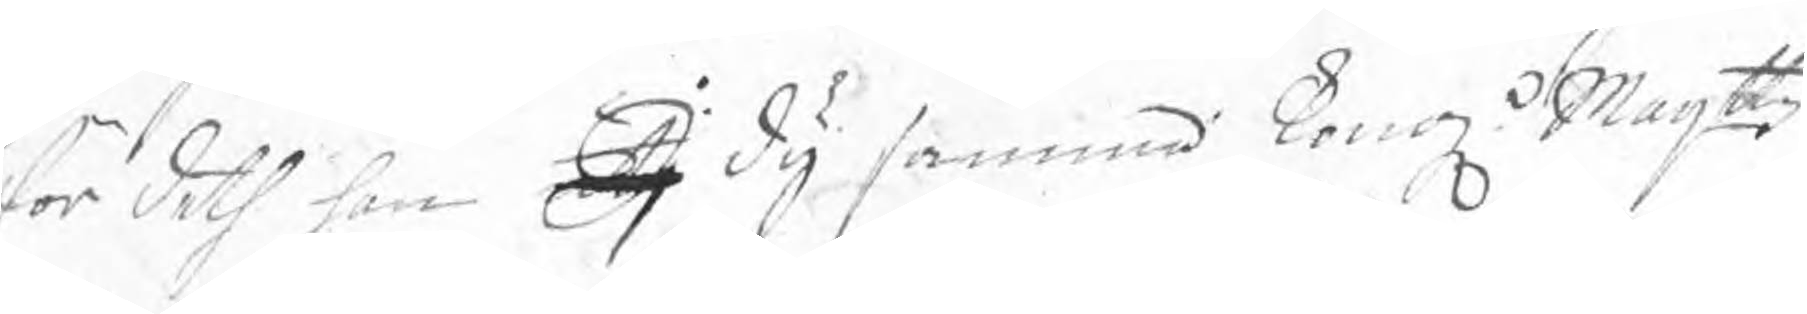för deth han I dy samma Kong Maijttz
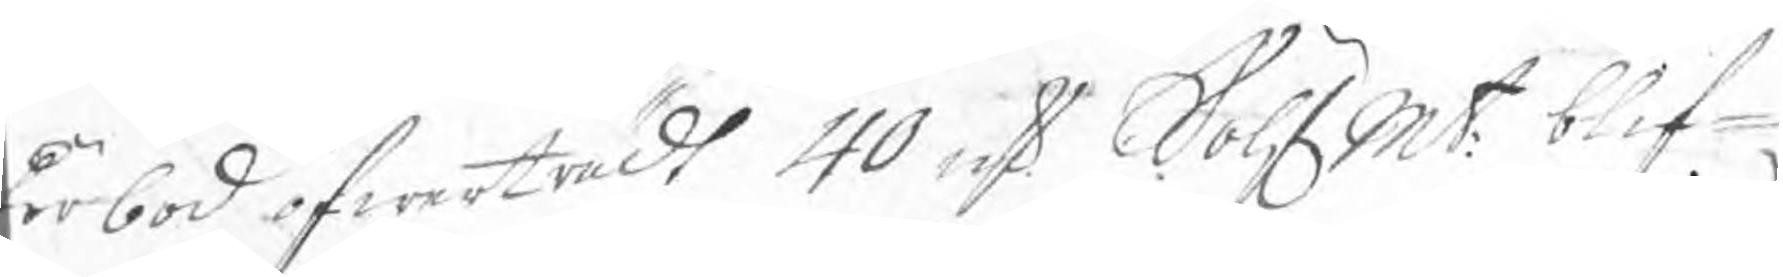förbod öfwerträdt 40 rsk SölfMt: blif¬
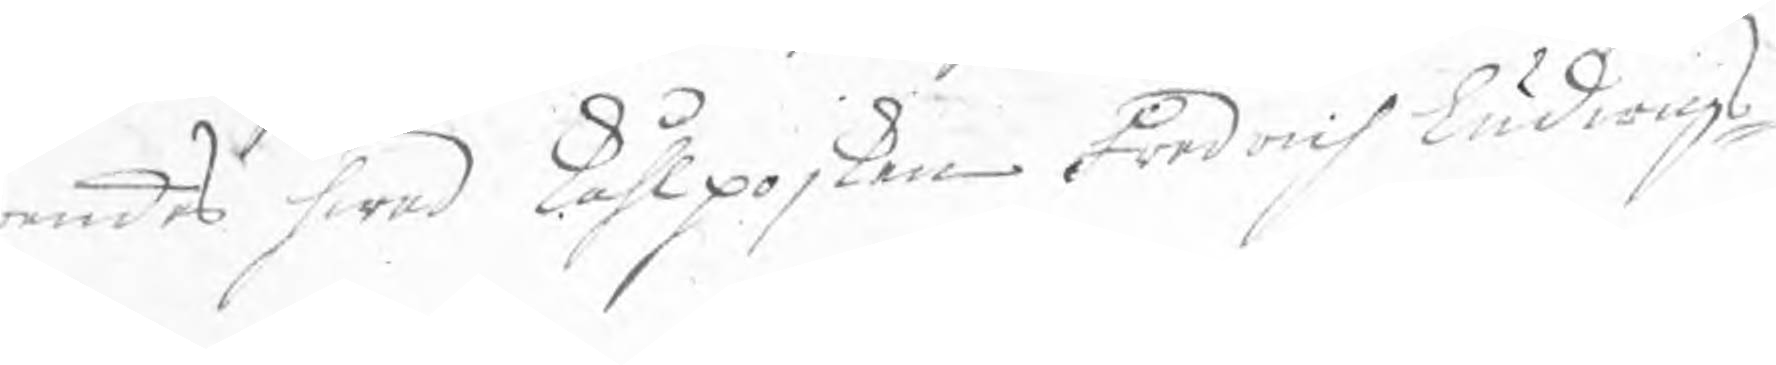andes hwad Kåhlpojken Fredrich Ludwigs¬
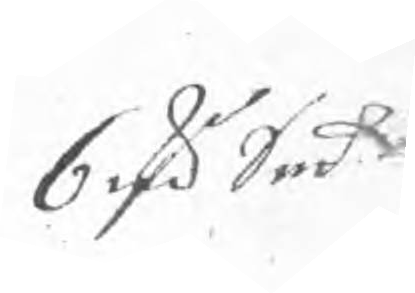6 rd Smt
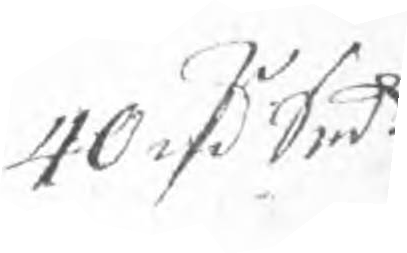40 rd Smt
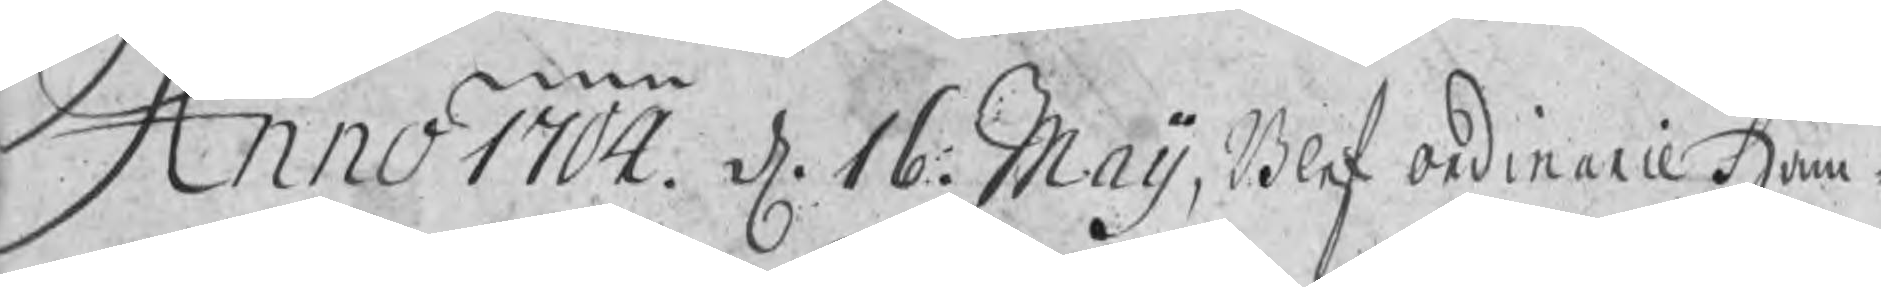Anno 1704. d. 16. Maij, Blef ordinarie Ham¬
